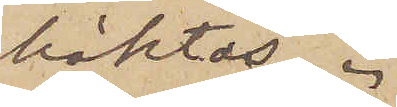häktas.
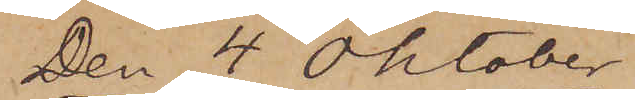Den 4 Oktober
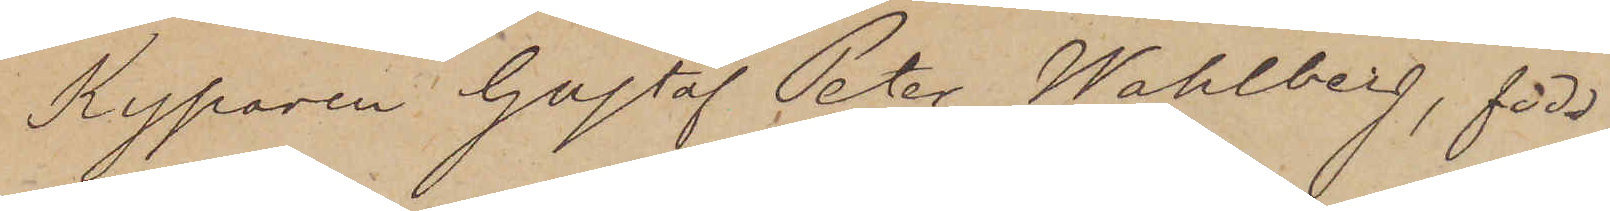Kyparen Gustaf Peter Wahlberg, född
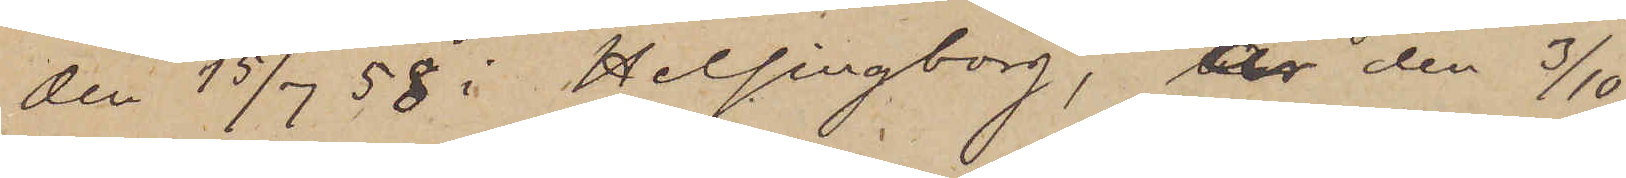den 15/7 58 i Helsingborg, är den 3/10
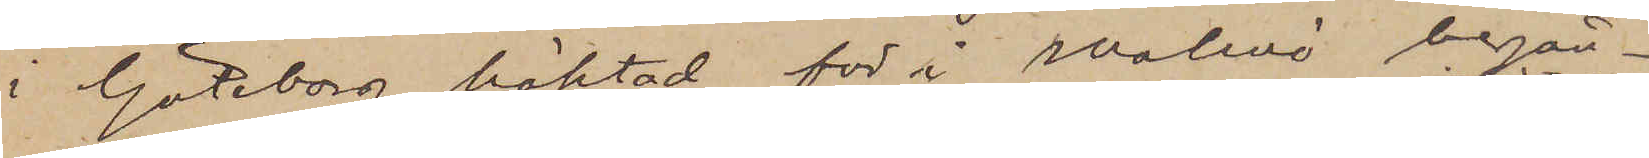i Göteborg häktad för i Malmö begån¬
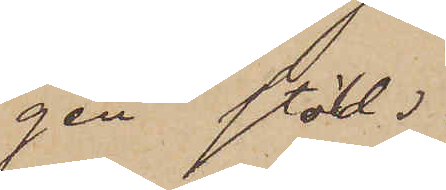gen stöld.
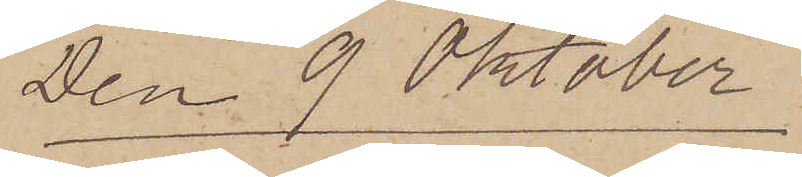Den 9 Oktober.
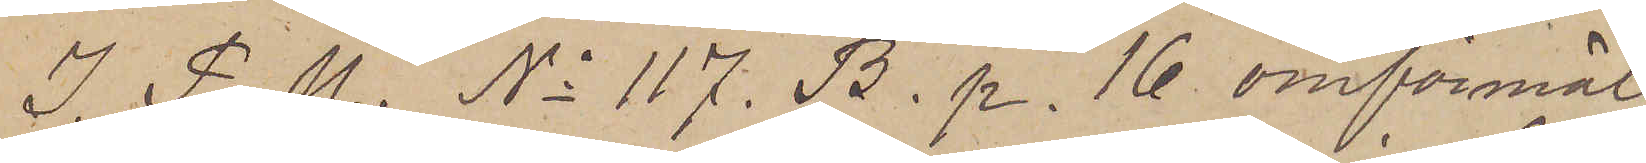I P. U. No 117. B. p. 16 omförmäl¬
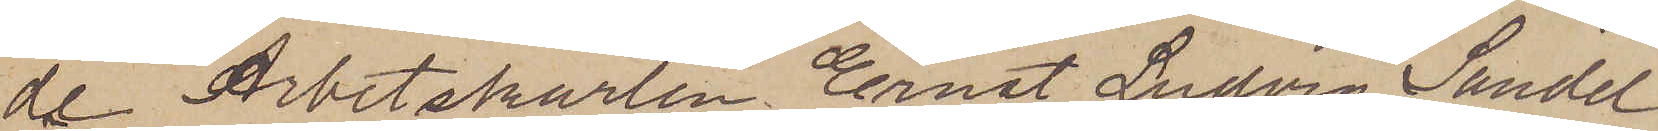de Arbetskarlen Ernst Ludvig Sandel
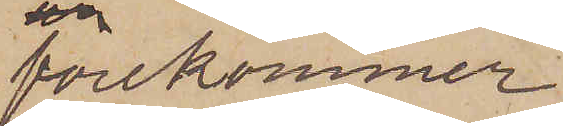förekommer
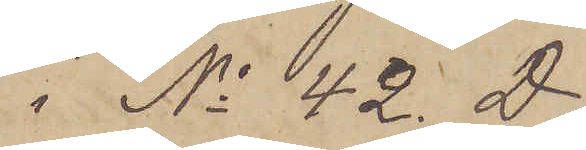i No 42. D
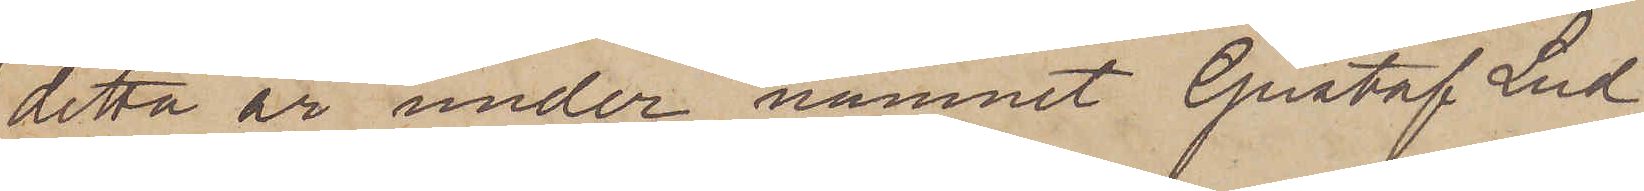detta år under namnet Gustaf Lud¬
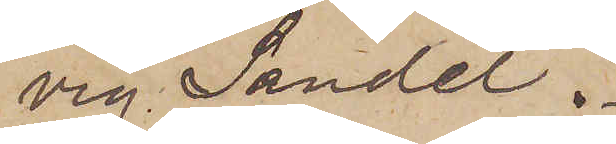vig Sandel.
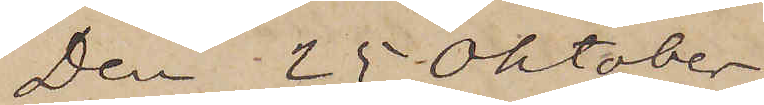Den 25 Oktober
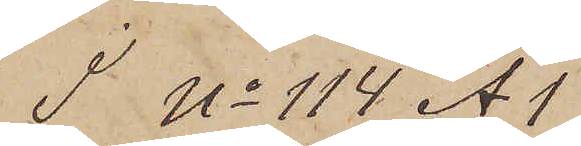I No 114 A1
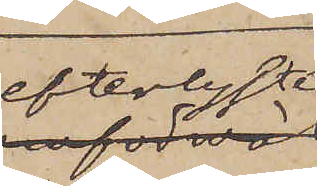efterlyste
